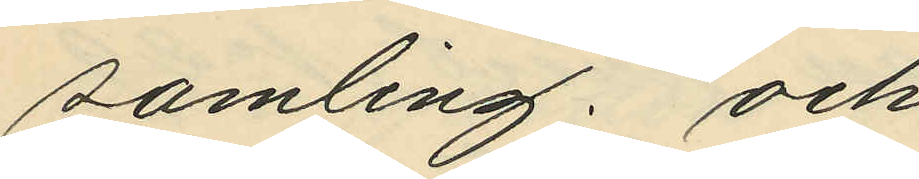samling; och
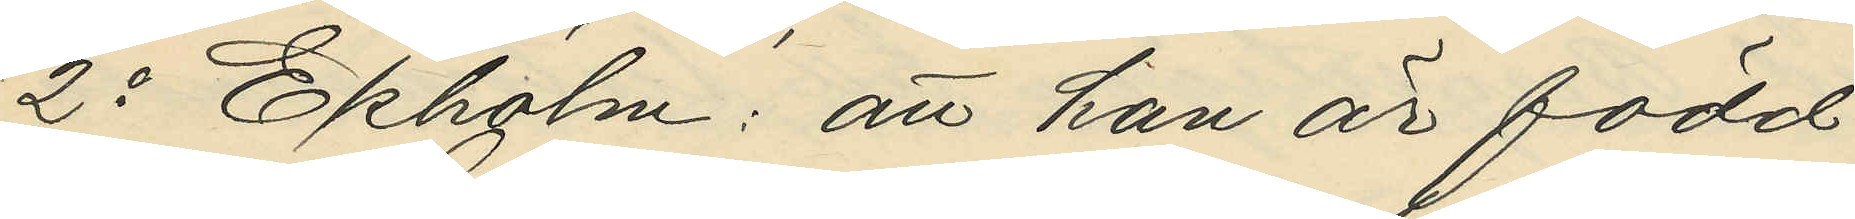2o Ekholm: att han är född
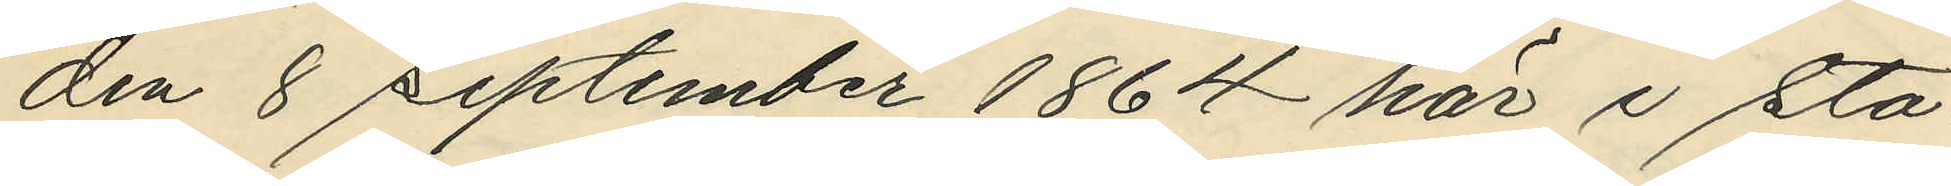den 8 September 1864 här i sta¬
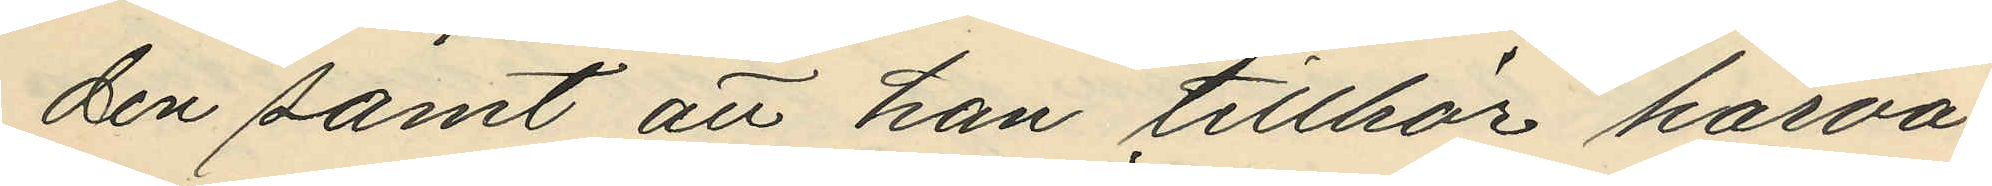den samt att han tillhör härva¬
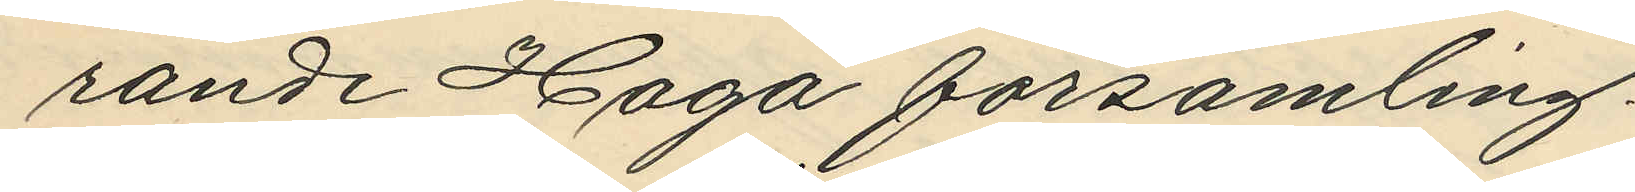rande Haga församling.
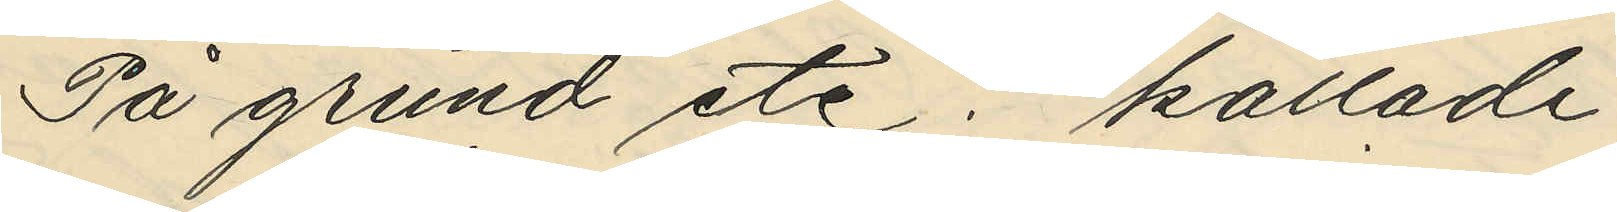På grund etc. kallade
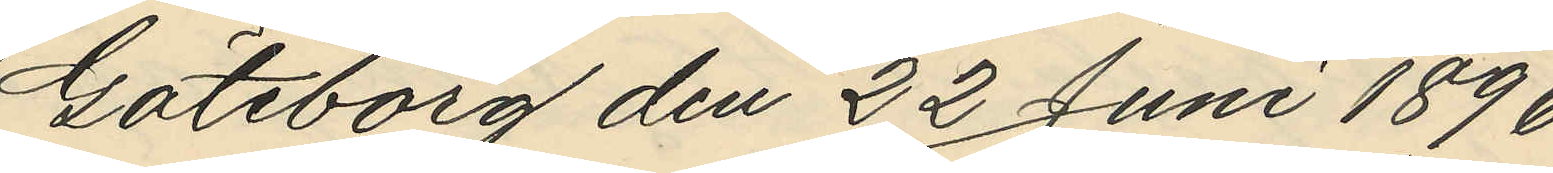Göteborg den 22 Juni 1896.
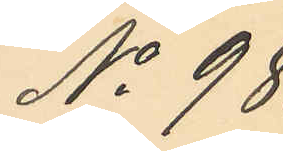No 98.
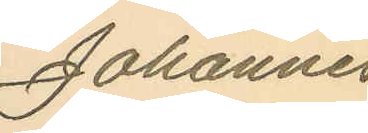Johannes
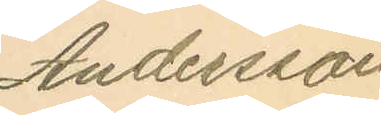Andersson
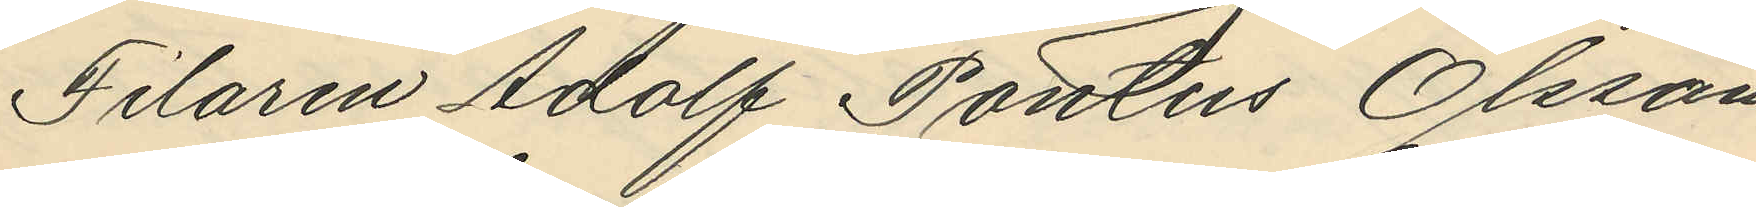Filaren Adolf Pontus Olsson,
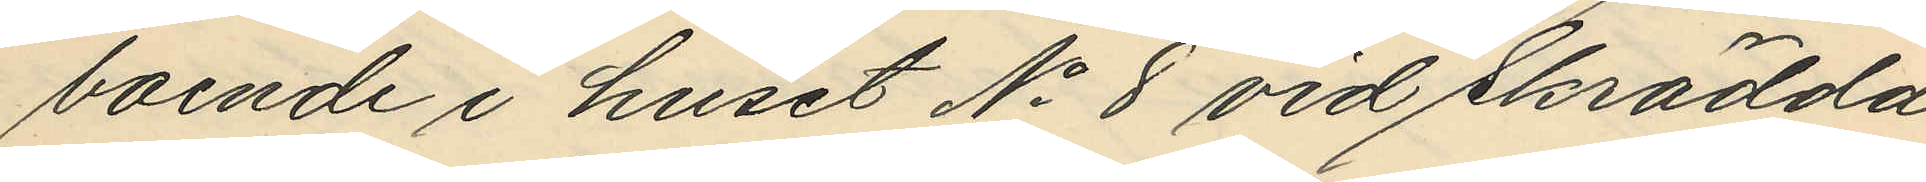boende i huset No 8 vid Skrädda¬
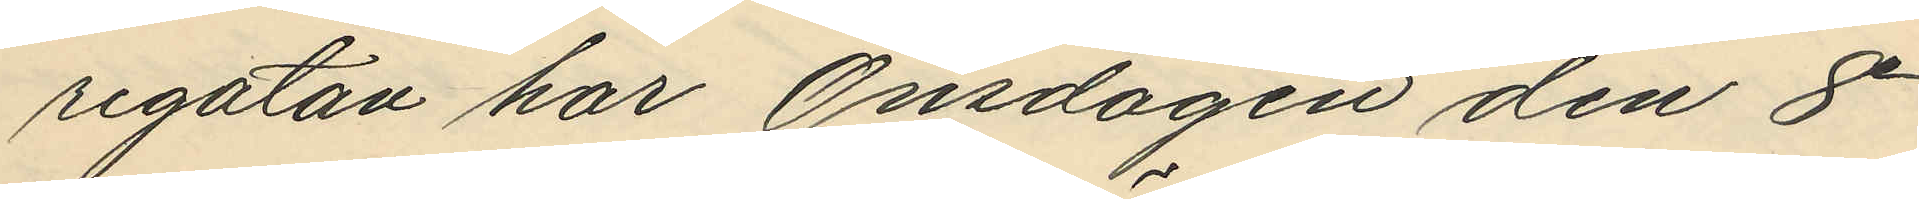regatan har Onsdagen den 8e
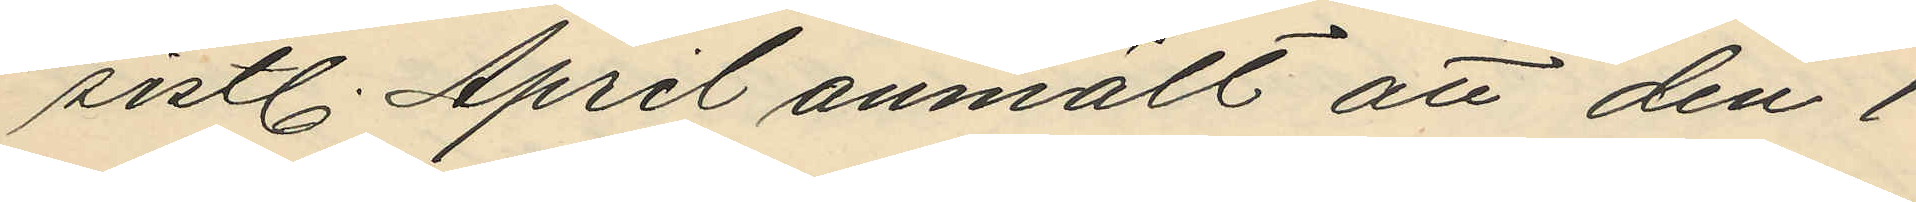sistl. April anmält att den 1
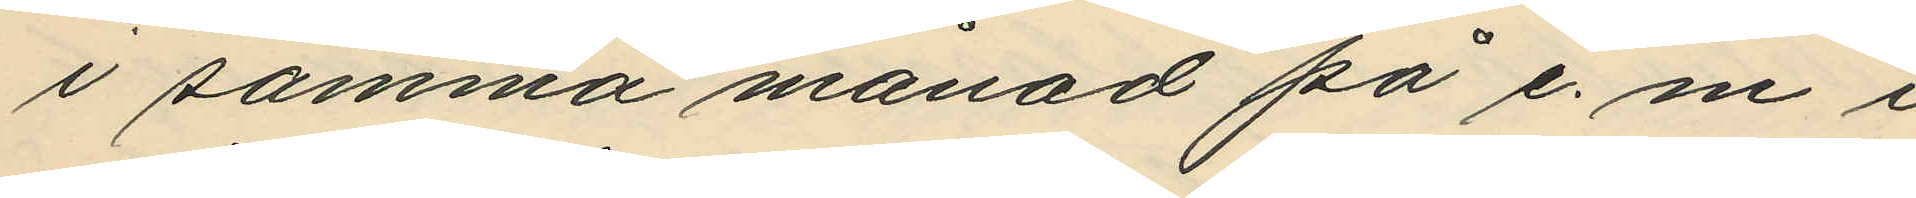i samma månad på e. m i
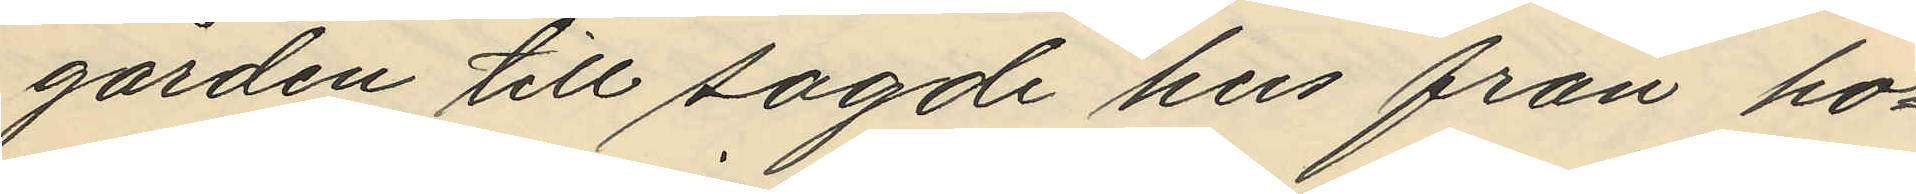gården till sagde hus från ho¬
